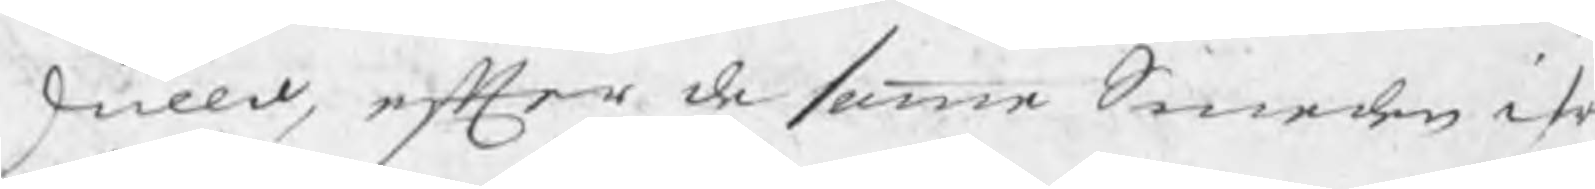skulld, efter de samme Smeden ifr
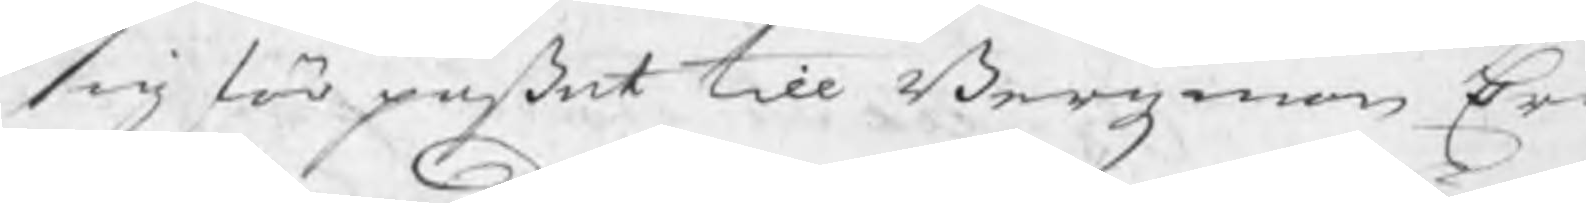sig förpaßat till Bergzman Eri
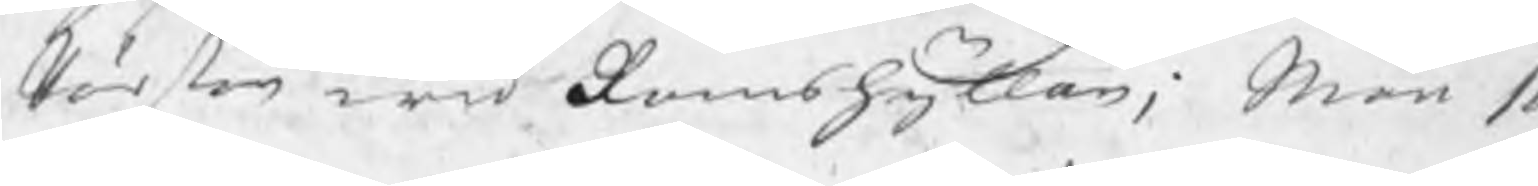Pärson wid Ramshyttan; Män so
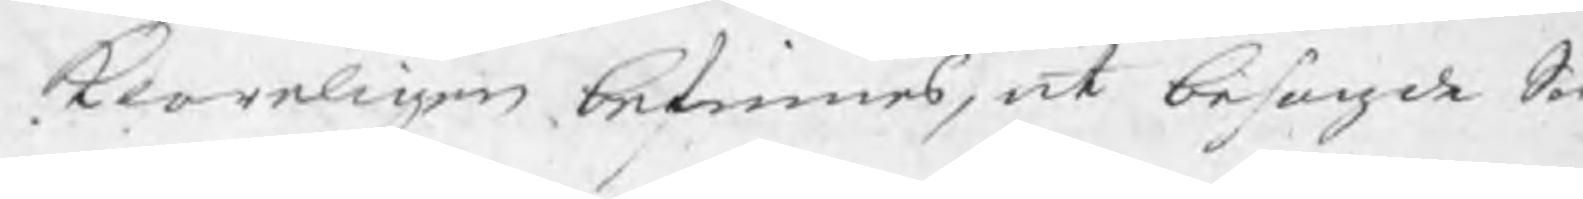klareligen befinnes, at befogade Sm
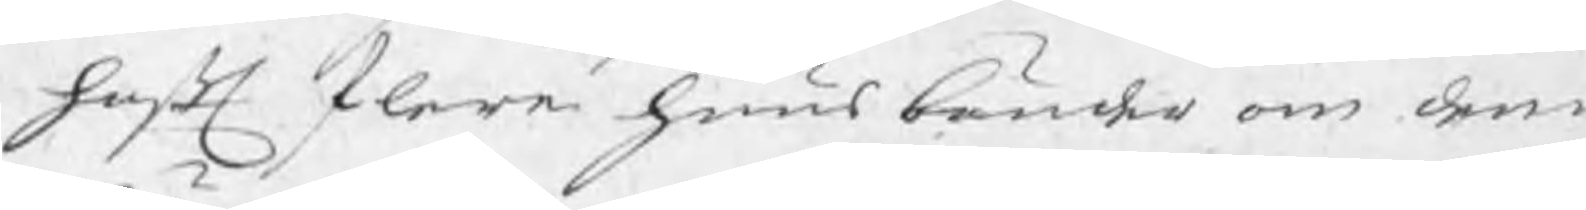haft flere huusbönder om denn
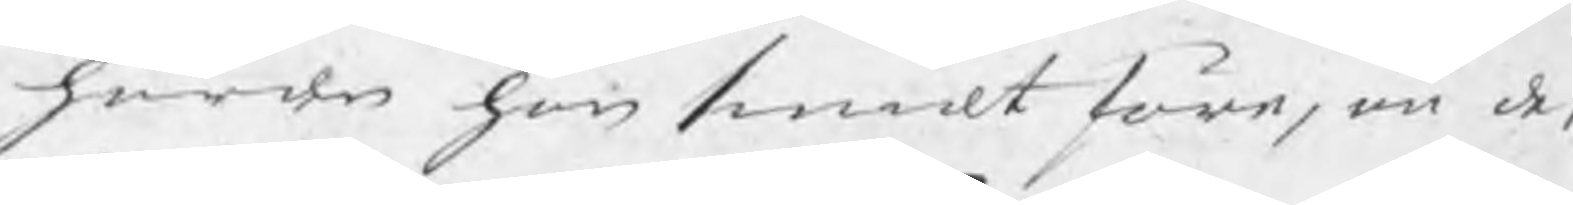härden han smidt före, än de
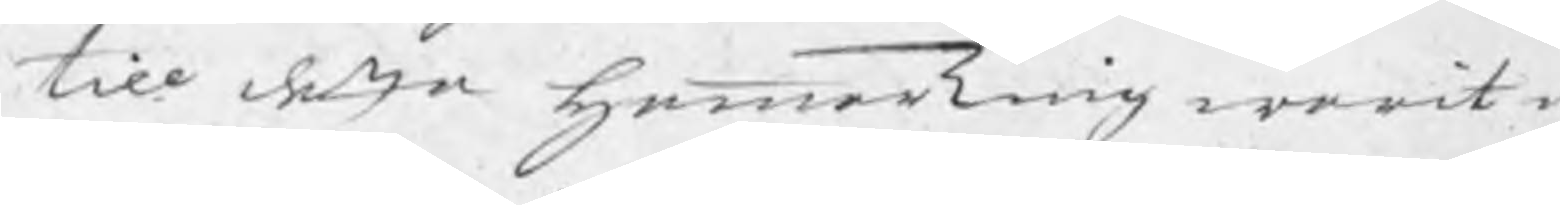till detta Hammarting warit i
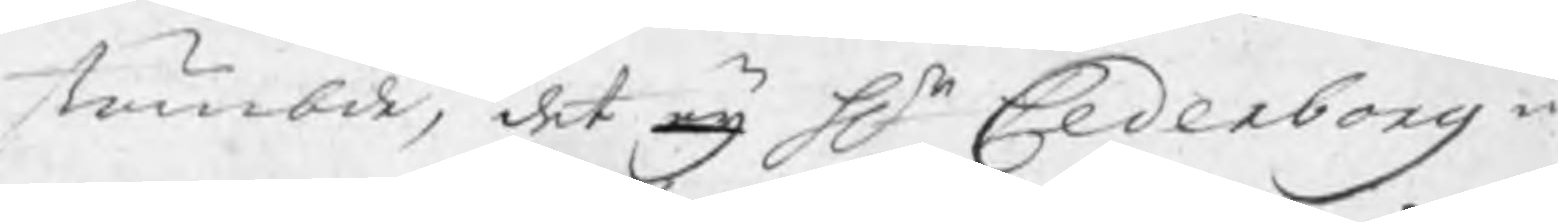stämbde, det eij Hr Cederborg i
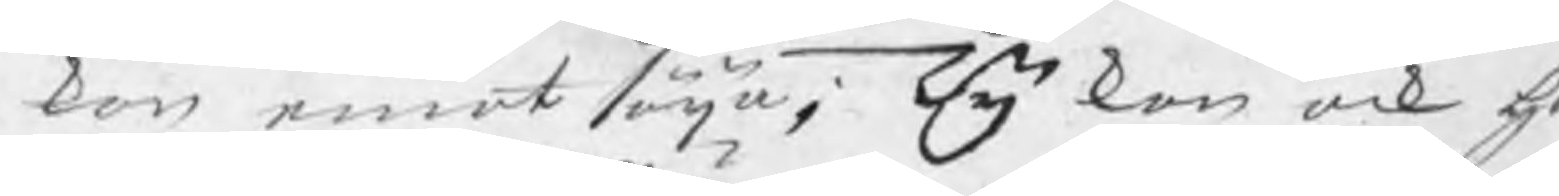kan emot säija; Ty kan ock H
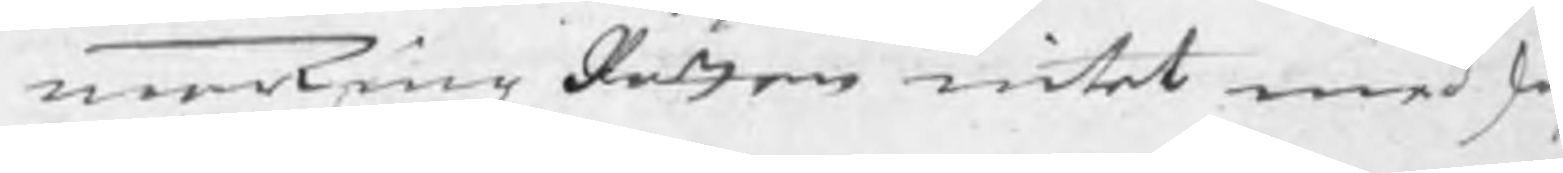marTingzRätten intet med ski
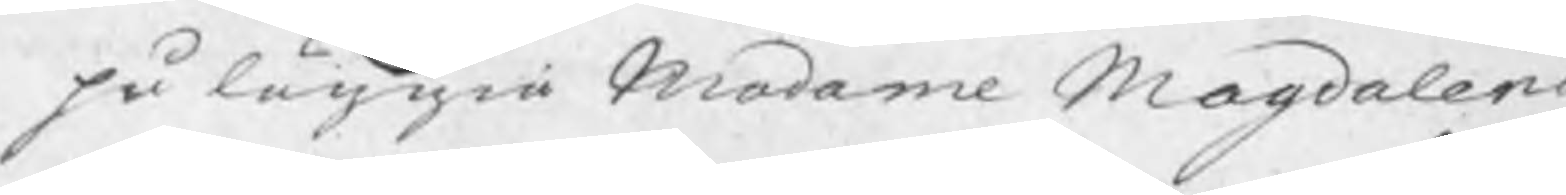påläggia Madame Magdalena
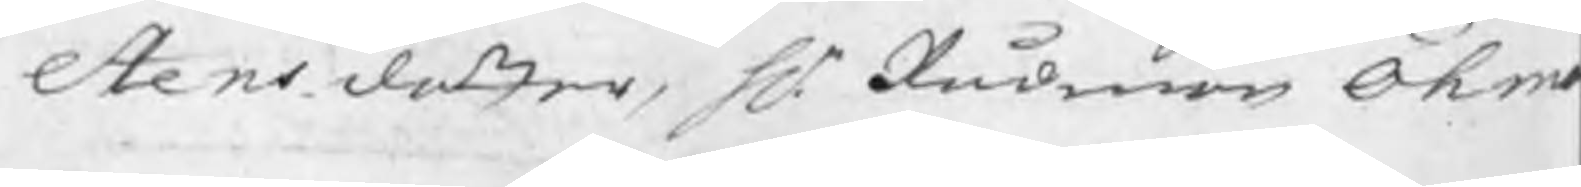Stensdotter, Hr Rådman Öhm
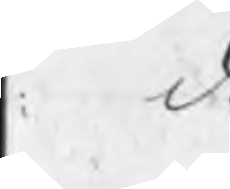. d.
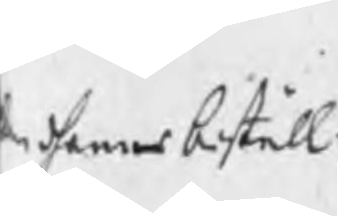n dhennes beställ¬
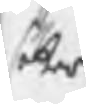söker
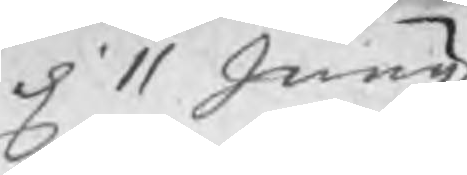d 11 Junij
